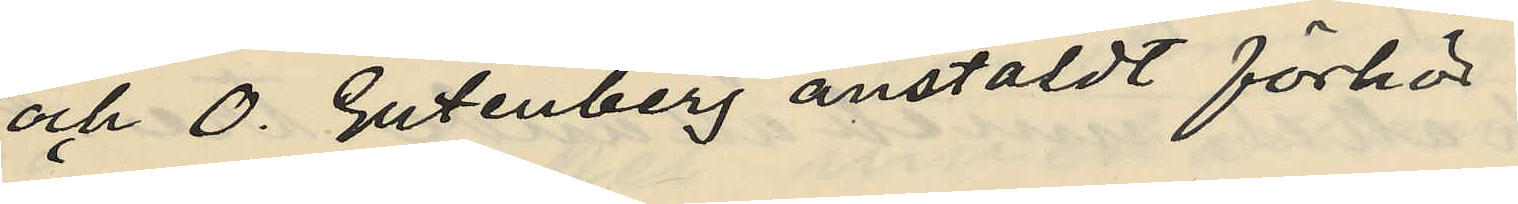och O. Gutenberg anstäldt förhör
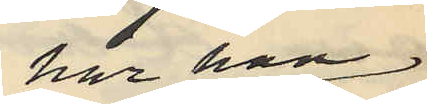har han
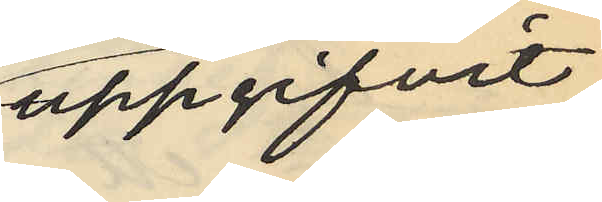uppgifvit
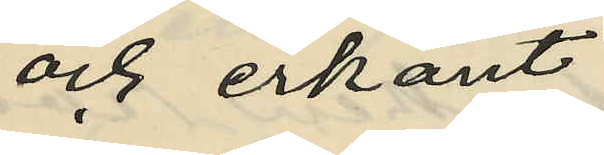och erkänt:
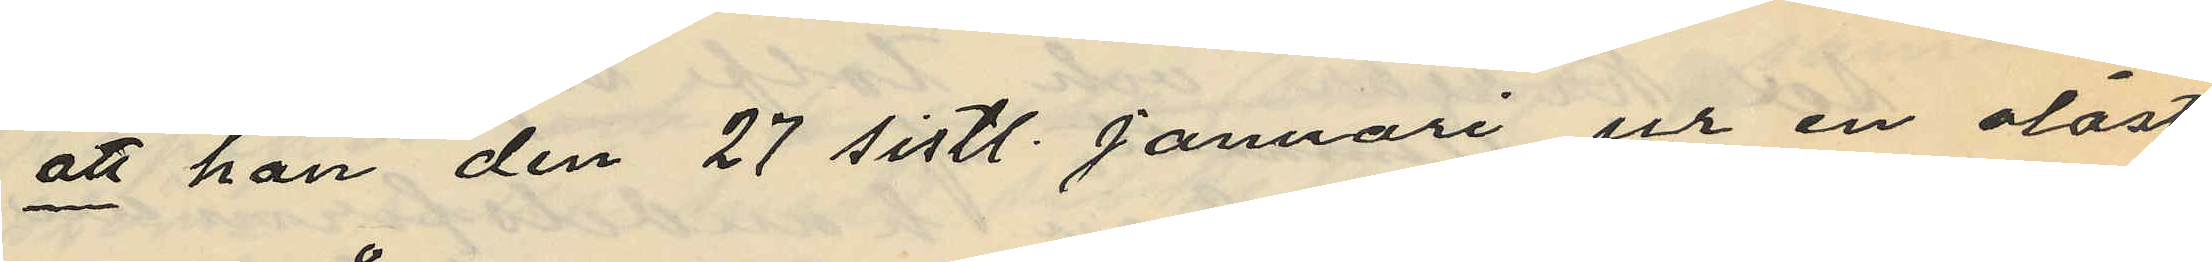att han den 27 sistl. Januari ur en olåst
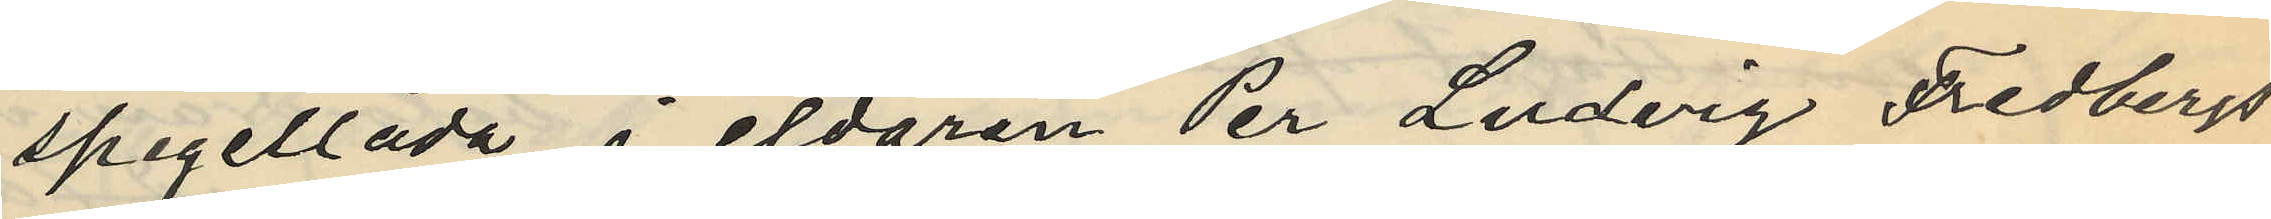spegellåda i eldaren Per Ludvig Fredbergs
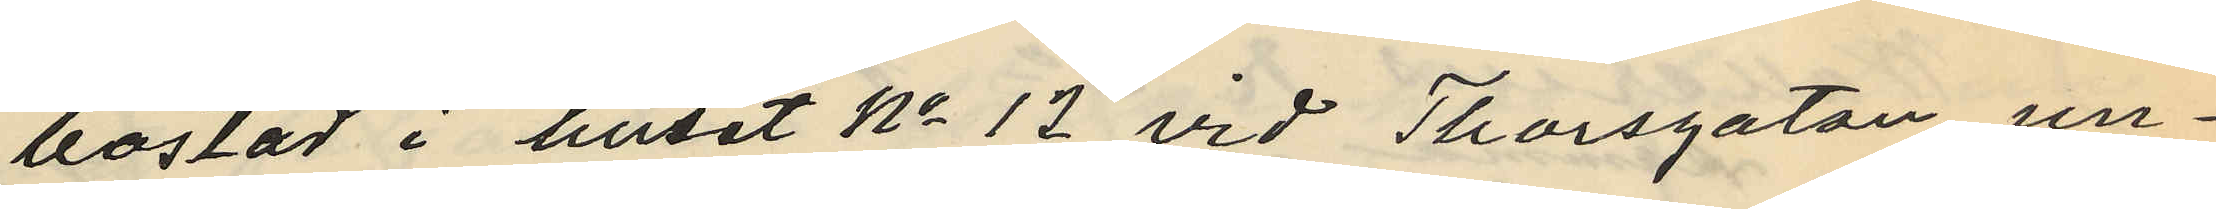bostad i huset No 12 vid Thorsgatan un¬
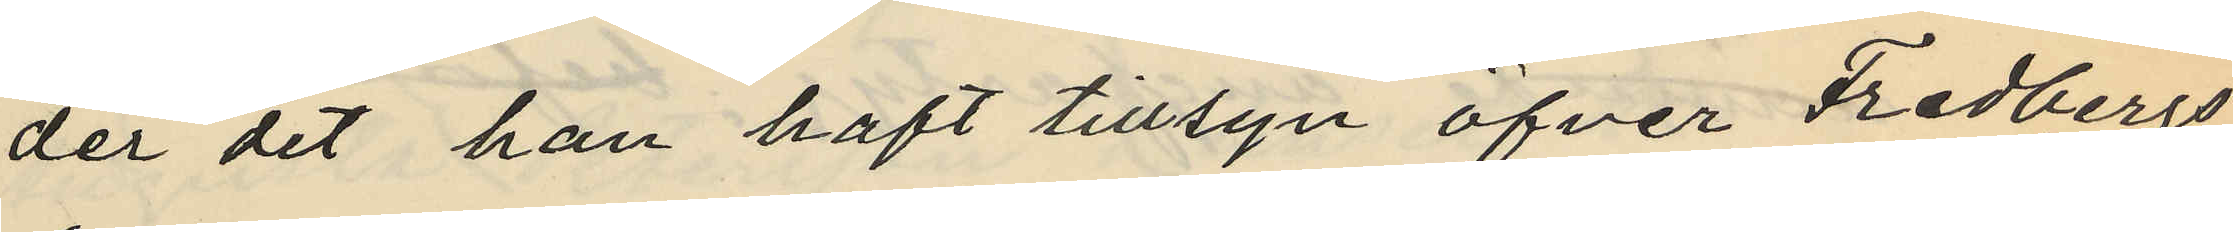der det han haft tillsyn öfver Fredbergs
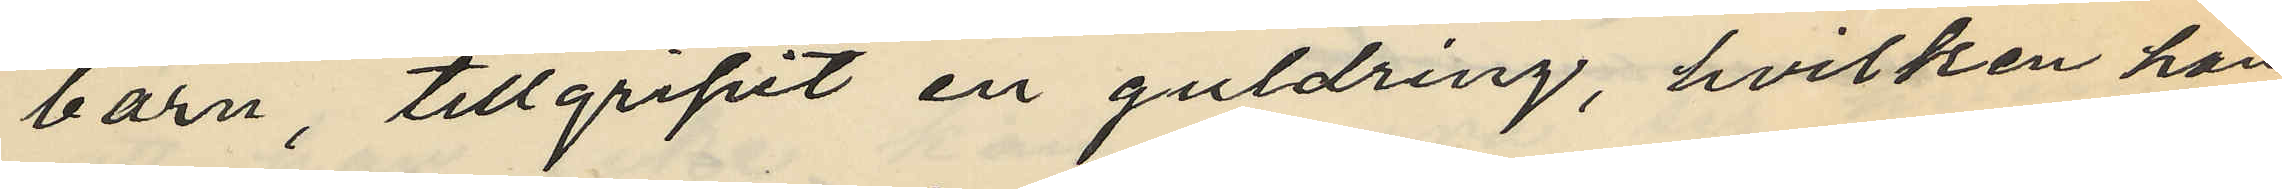barn, tillgripit en guldring, hvilken han
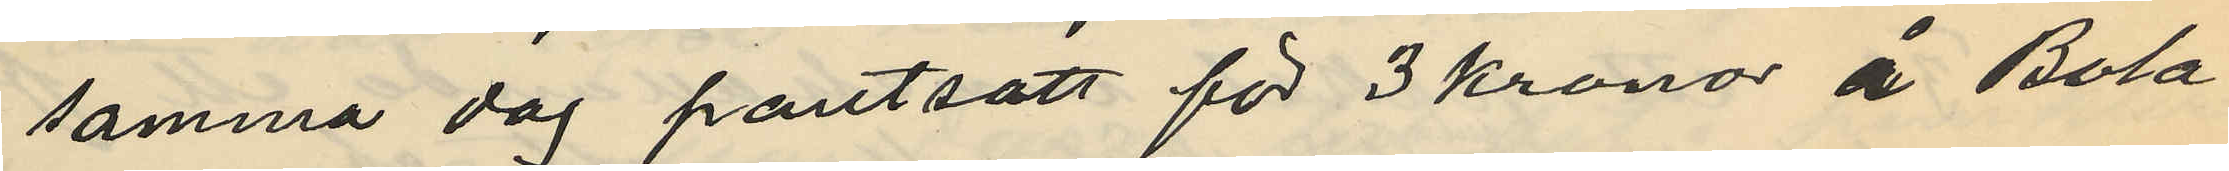samma dag pantsatt för 3 kronor å Bola¬
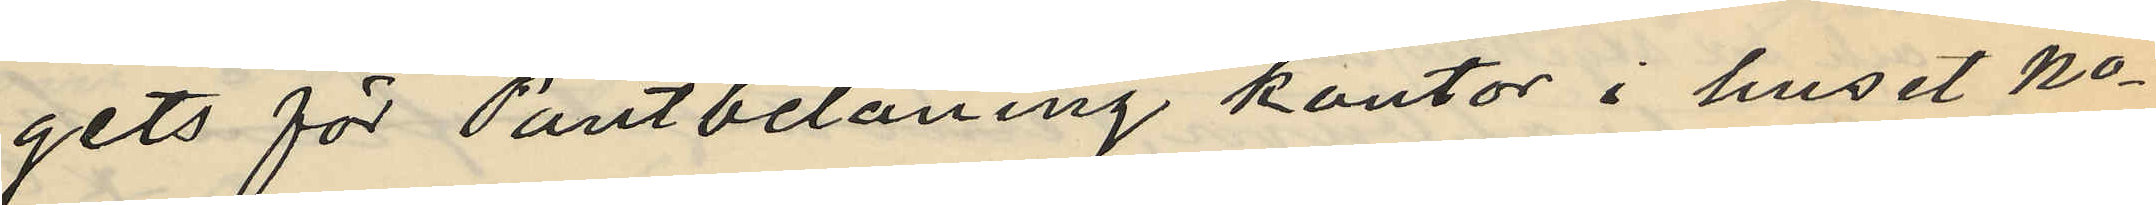gets för Pantbelåning kontor i huset No
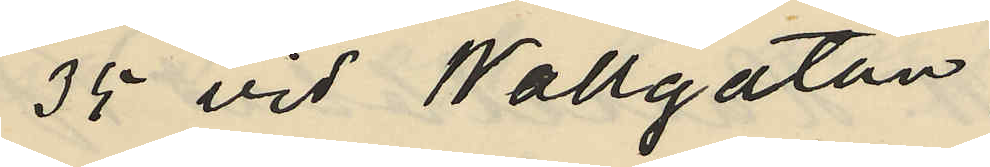35 vid Wallgatan;
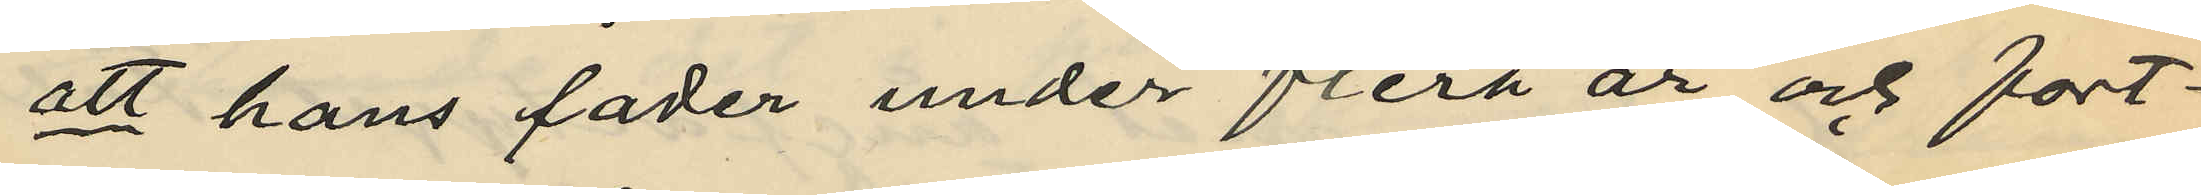att hans fader under flera år och fort¬
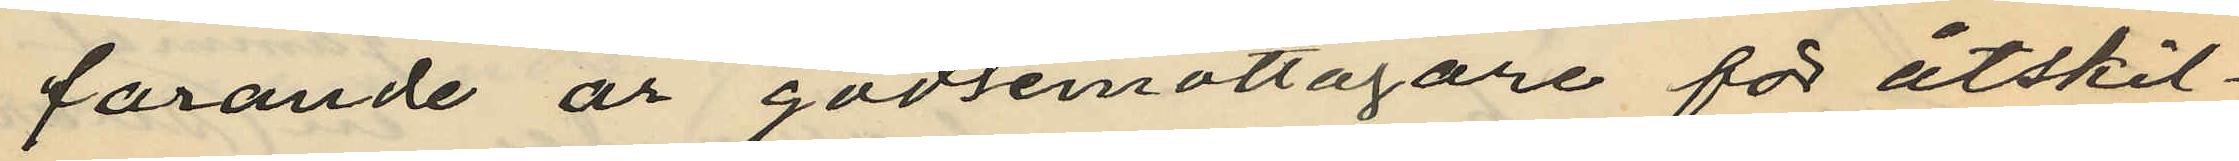farande är godsemottagare för åtskil¬
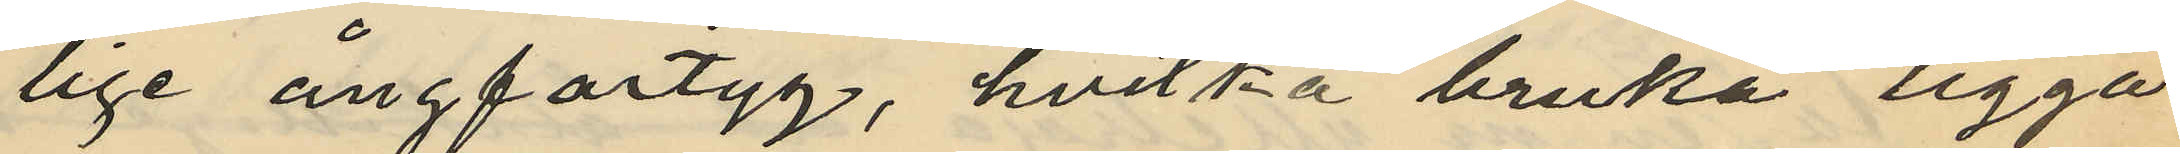lige ångfartyg, hvilka bruka ligga
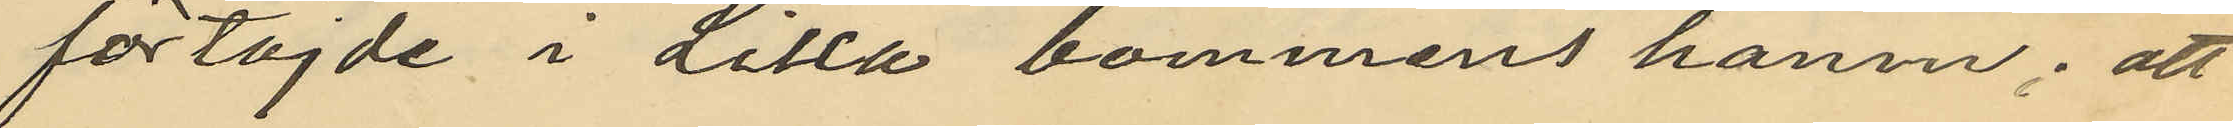förtöjde i Lilla bommens hamn; att
